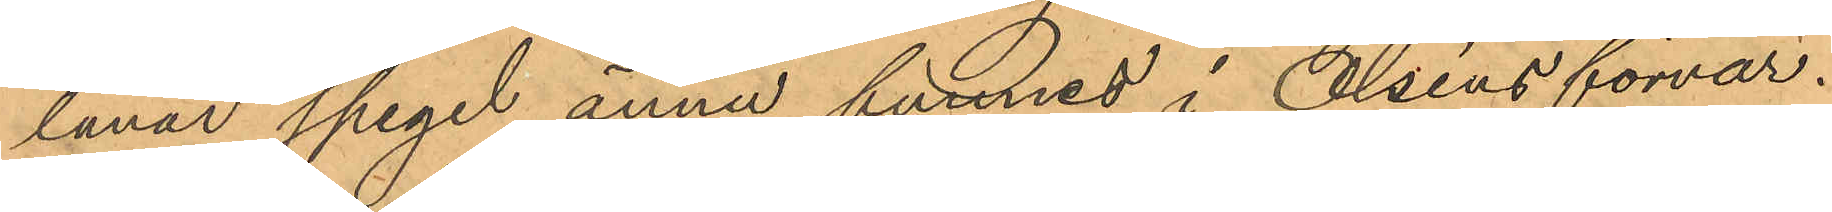lånar spegel ännu funnes i Olséns förvar.
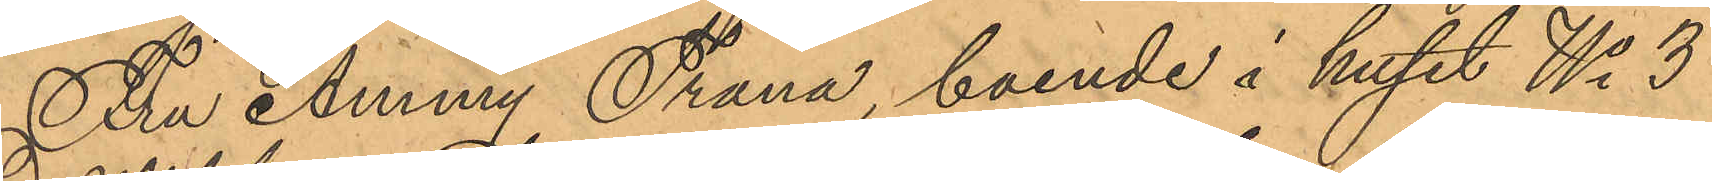Fru Amny Trana, boende i huset No 3
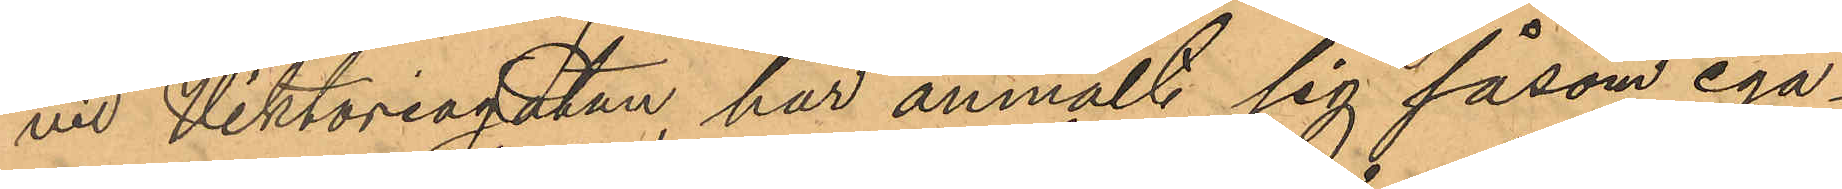vid Viktoriagatan, har anmält sig såsom ega¬
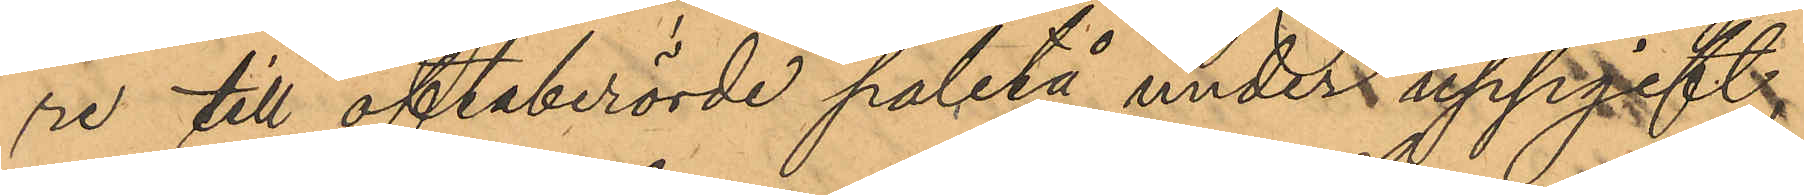re till oftaberörde paletå under uppgift,
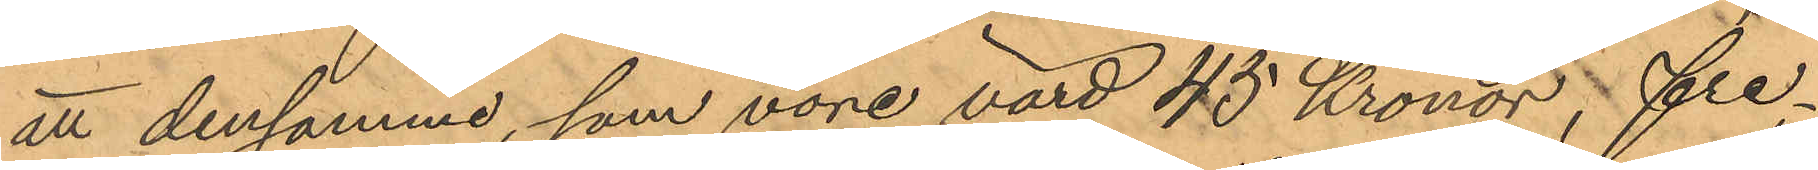att densamma, som vore värd 45 Kronor, fre¬
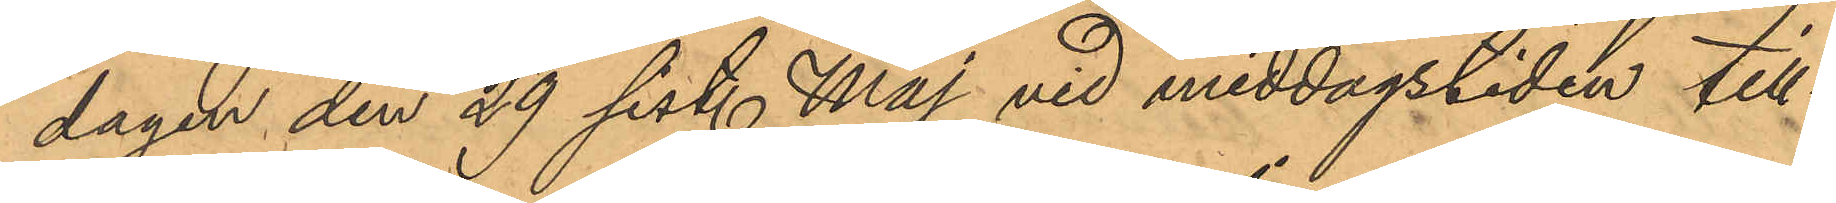dagen den 29 sist. Maj vid middagstiden till¬
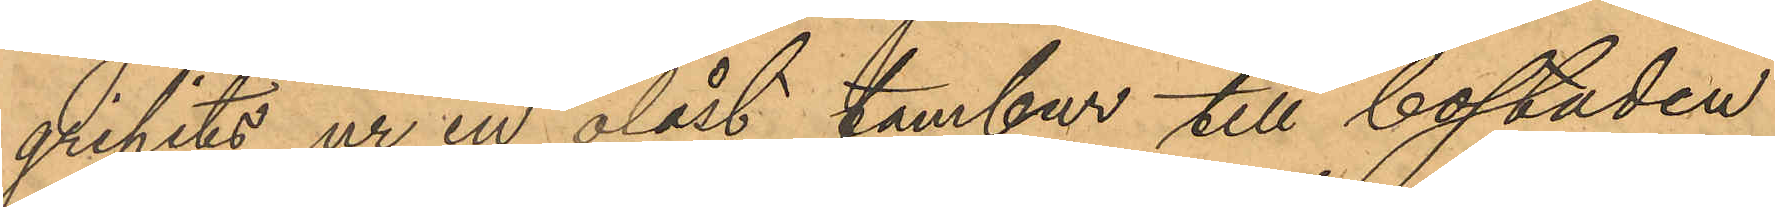gripits ur en olåst tambur till bostaden
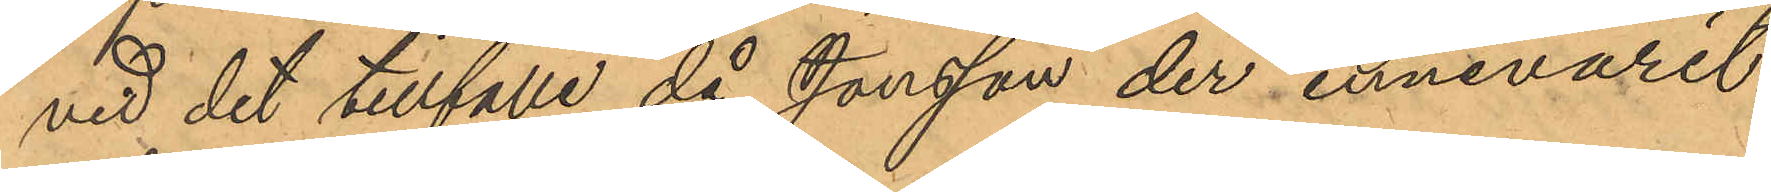vid det tillfälle då Jonsson der innevarit
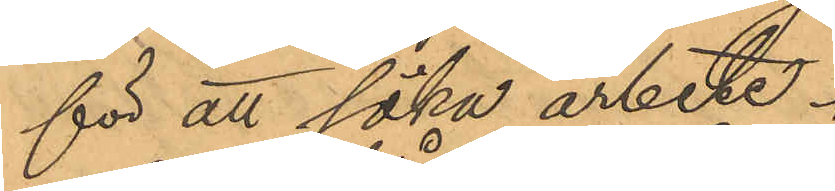för att söka arbete.
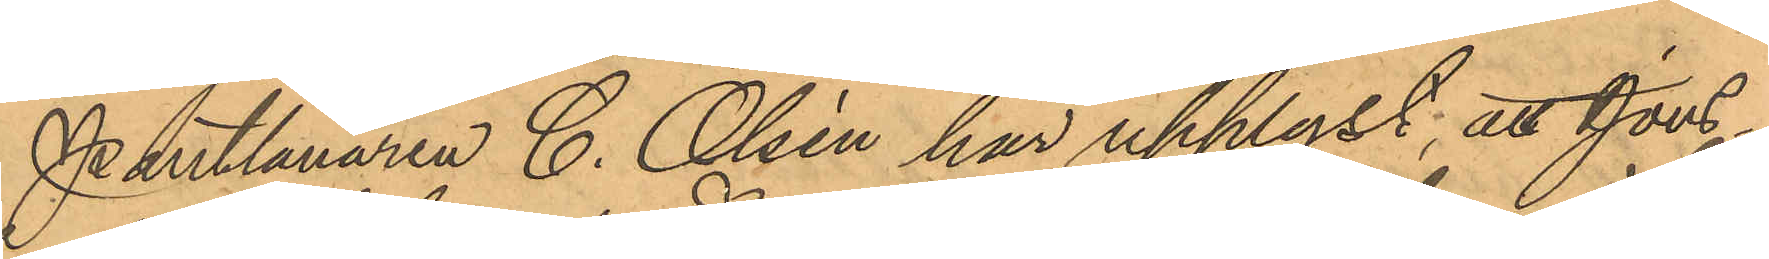Pantlånaren C. Olsén har upplyst, att Jons¬
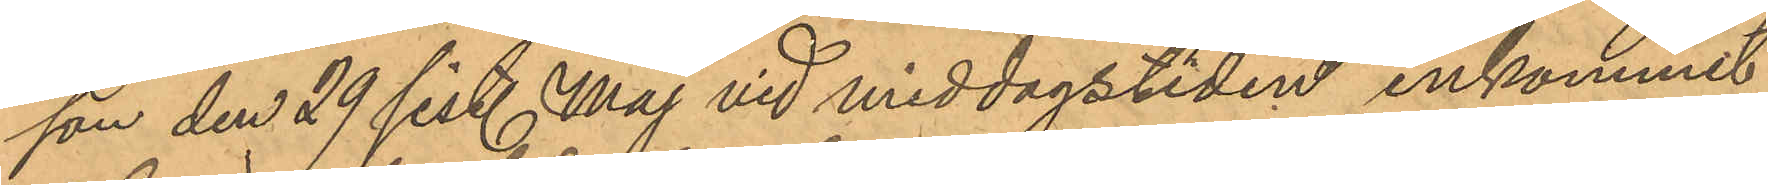son den 29 sist. Maj vid middagstiden inkommit
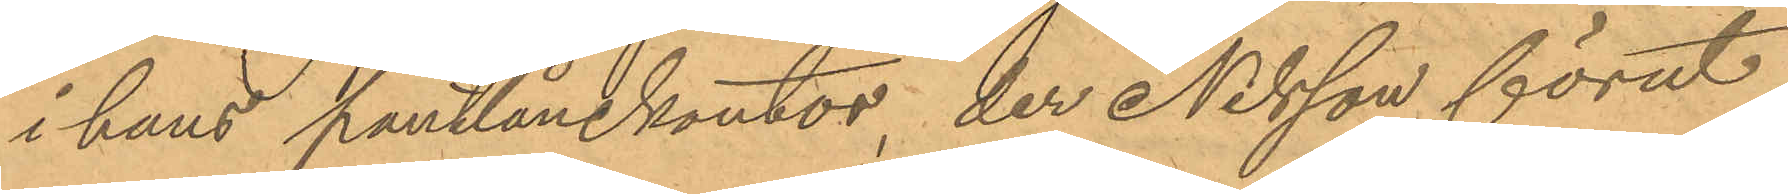i hans pantlånekontor, der Nilsson förut
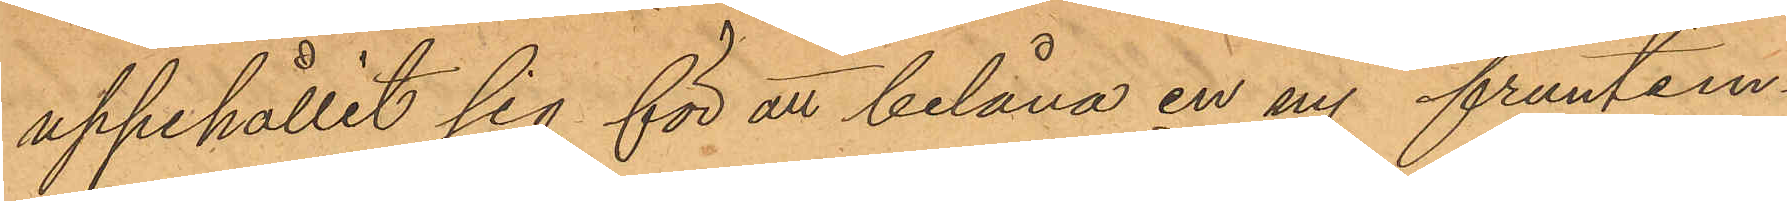uppehållit sig för att belåna en ny fruntim¬
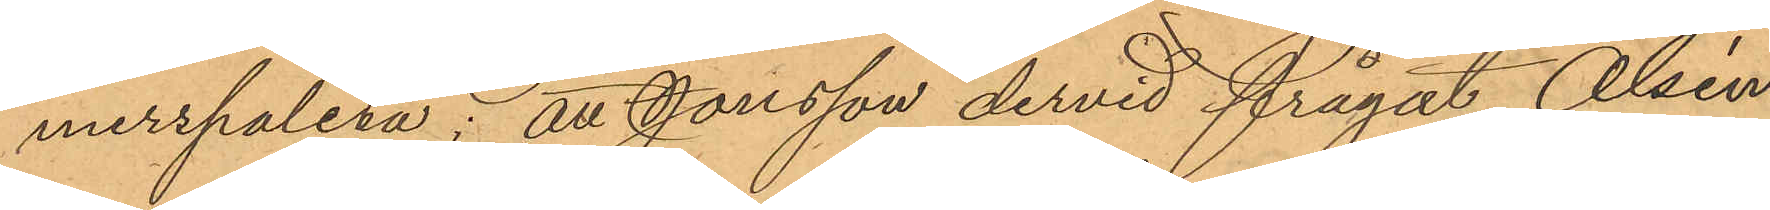merspaletå; att Jonsson dervid frågat Olsén
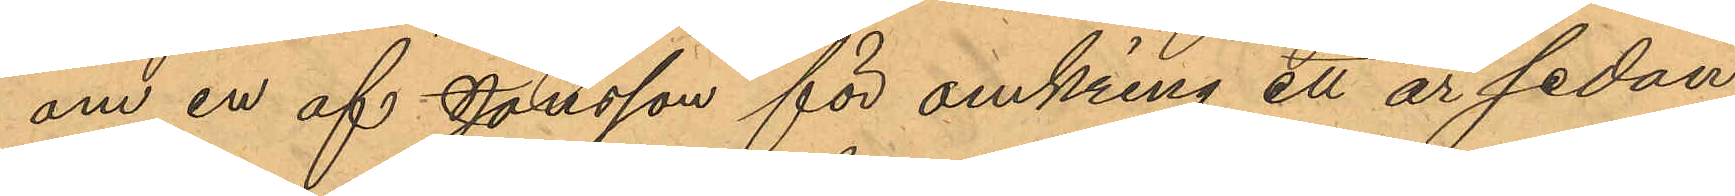om en af Jonsson för omkring ett är sedan
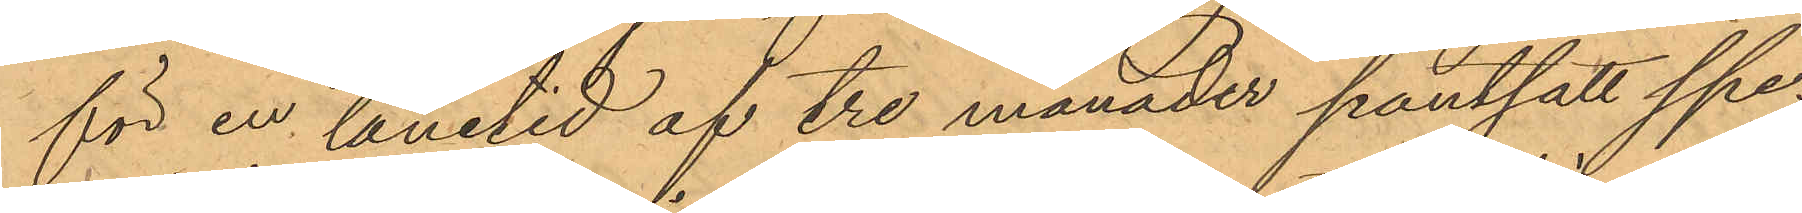för en lånetid af tre månader pantsatt spe¬
